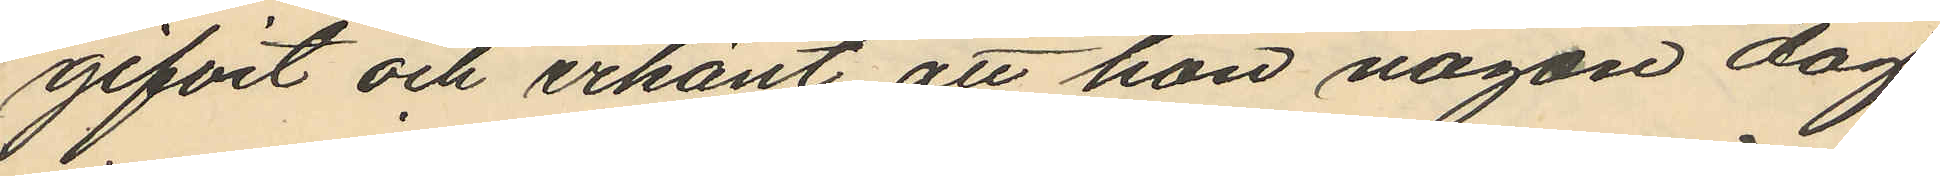gifvit och erkänt att hon någon dag
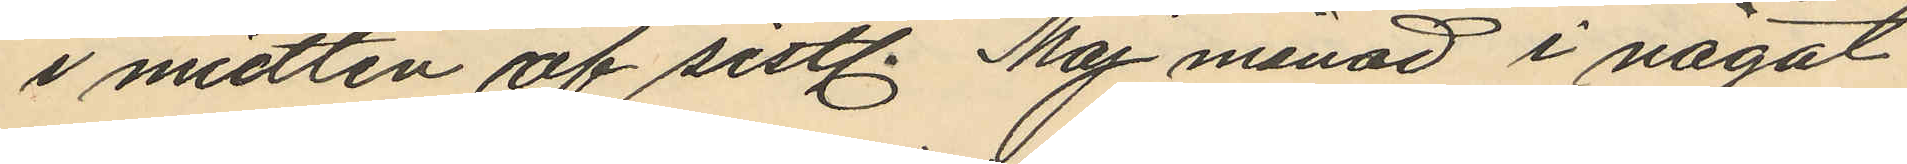i midten af sistl. Maj månad i något
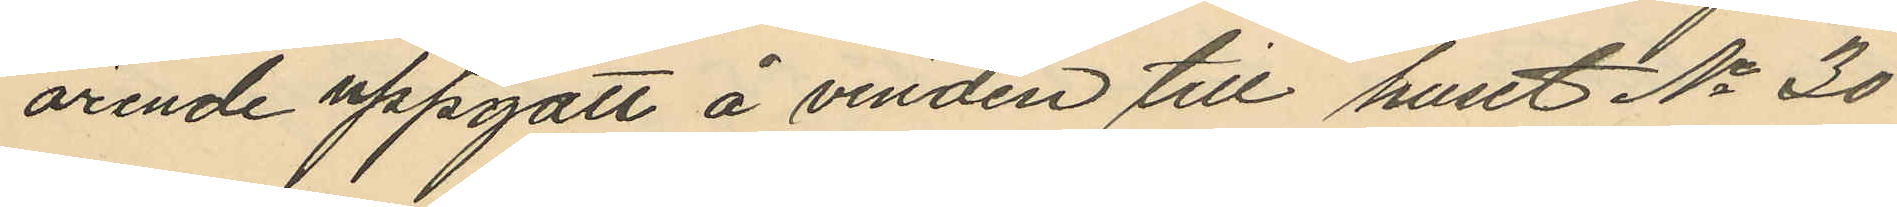ärende uppgått å vinden till huset No 30
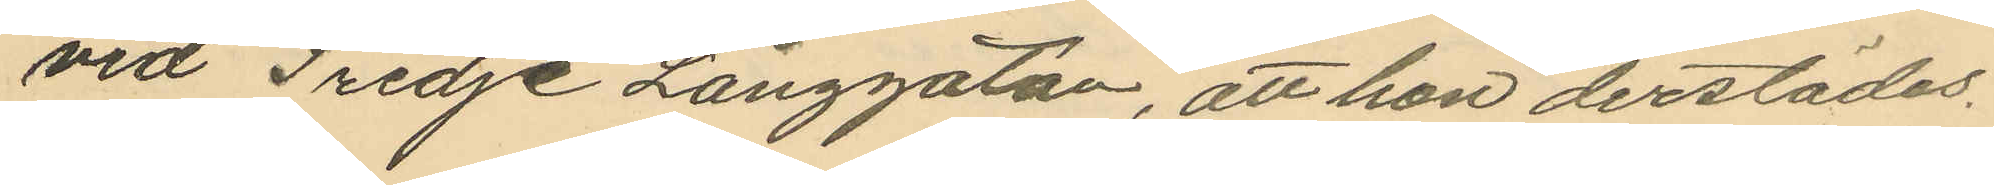vid Tredje Långgatan, att hon derstädes
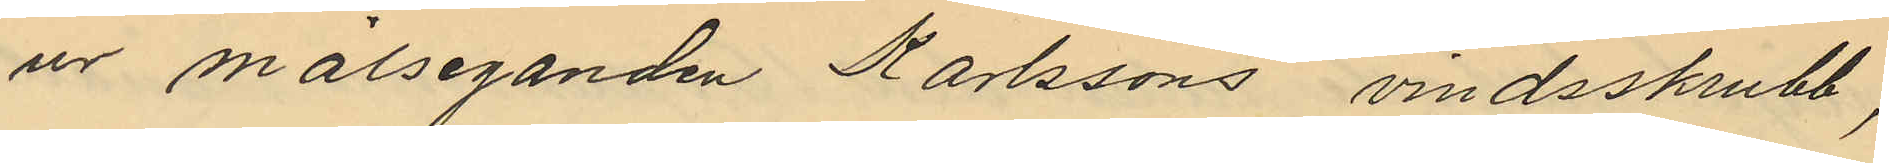ur målseganden Karlssons vindsskrubb,
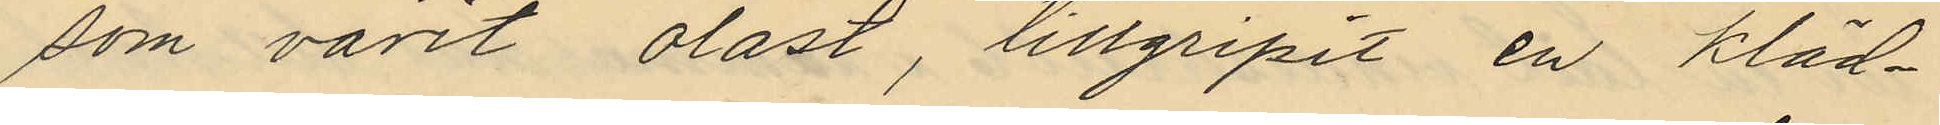som varit olåst, tillgripit en kläd¬
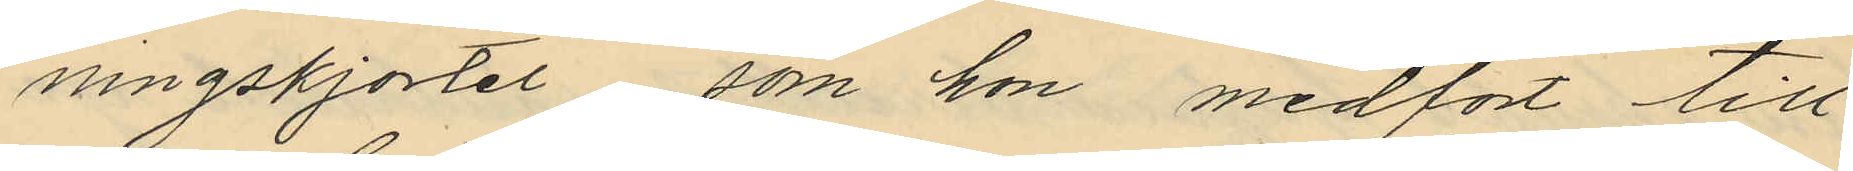ningskjortel som hon medfört till
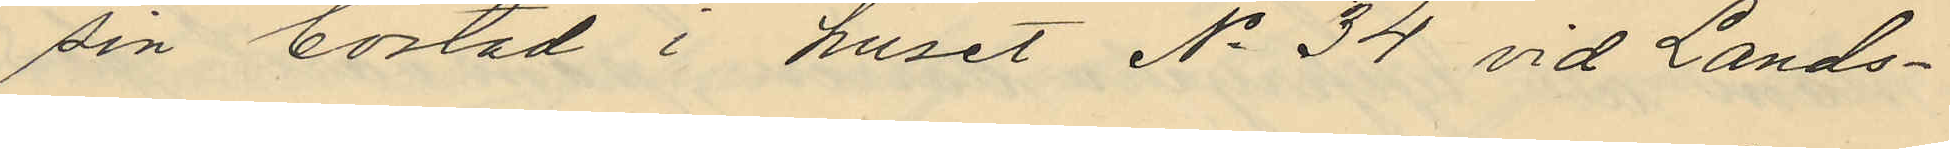sin bostad i huset No 34 vid Lands¬
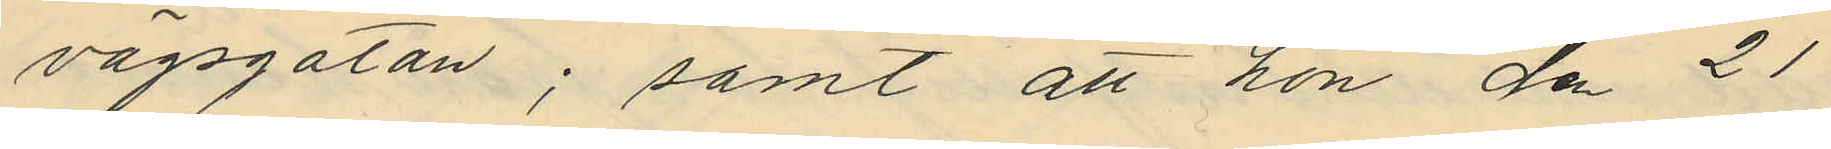vägsgatan; samt att hon den 21
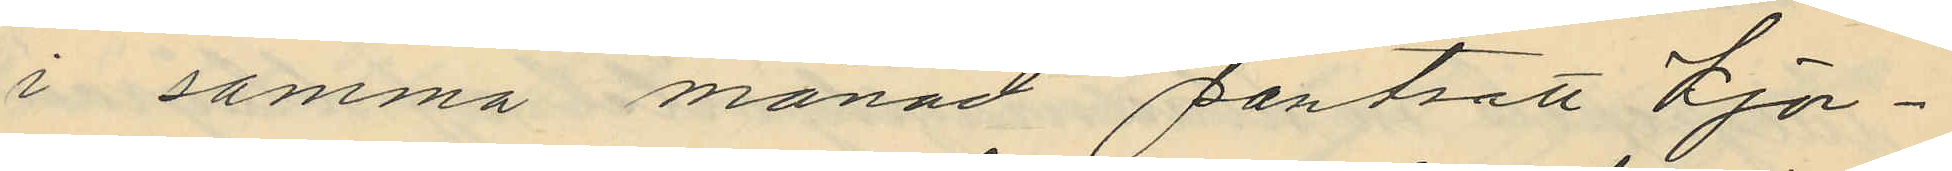i samma månad pantsatt kjor¬
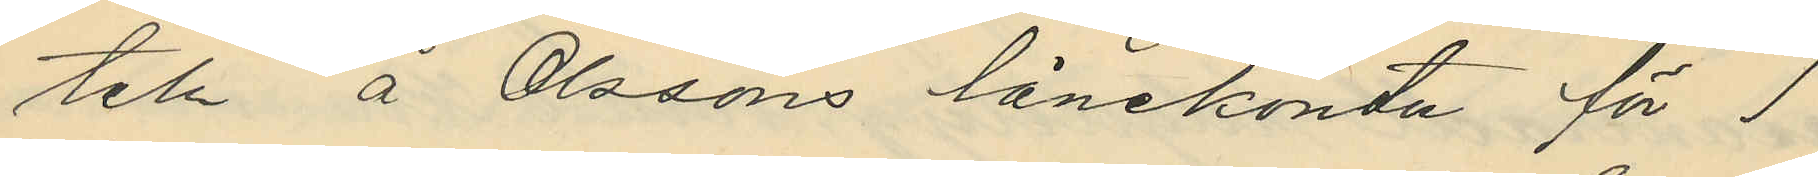teln å Olssons lånekontor för 1
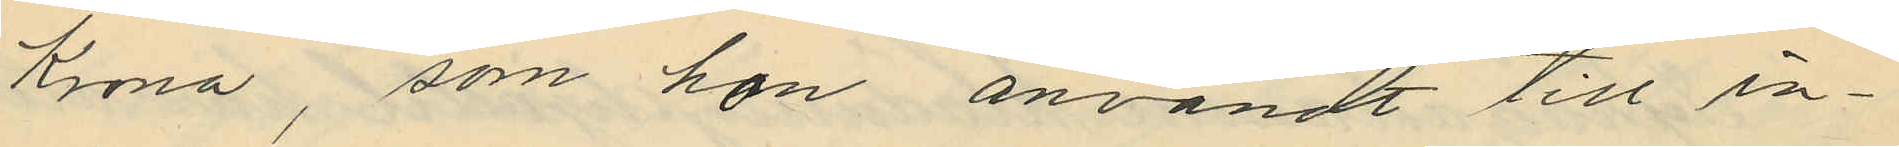Krona, som hon användt till in¬
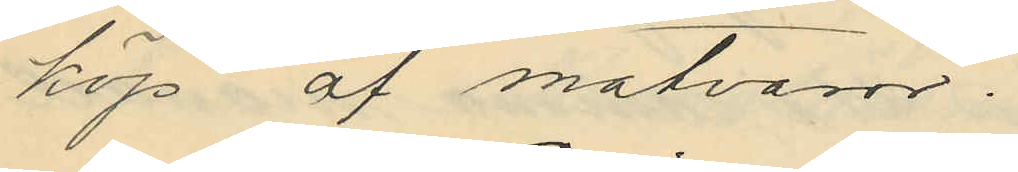köp af matvaror.
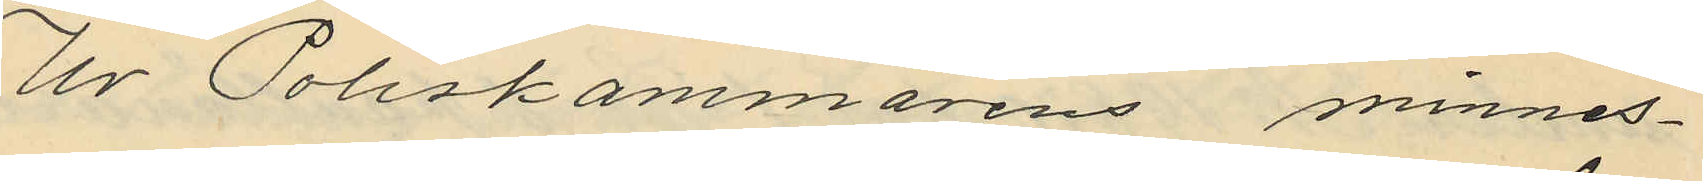Ur Poliskammarens minnes¬
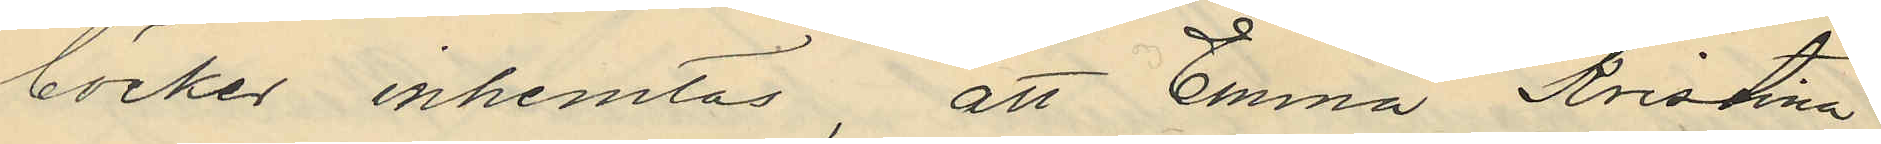böcker inhemtas, att Emma Kristina
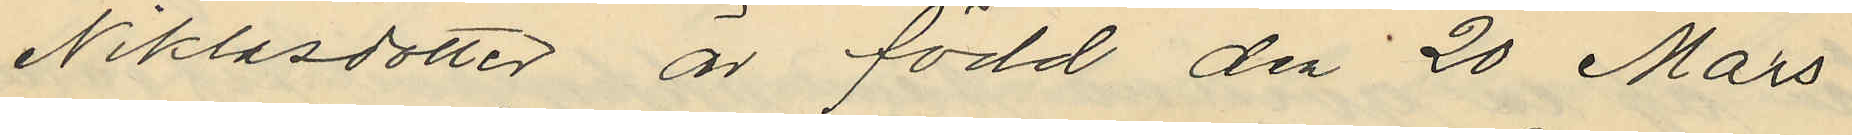Niklasdotter är född den 20 Mars
